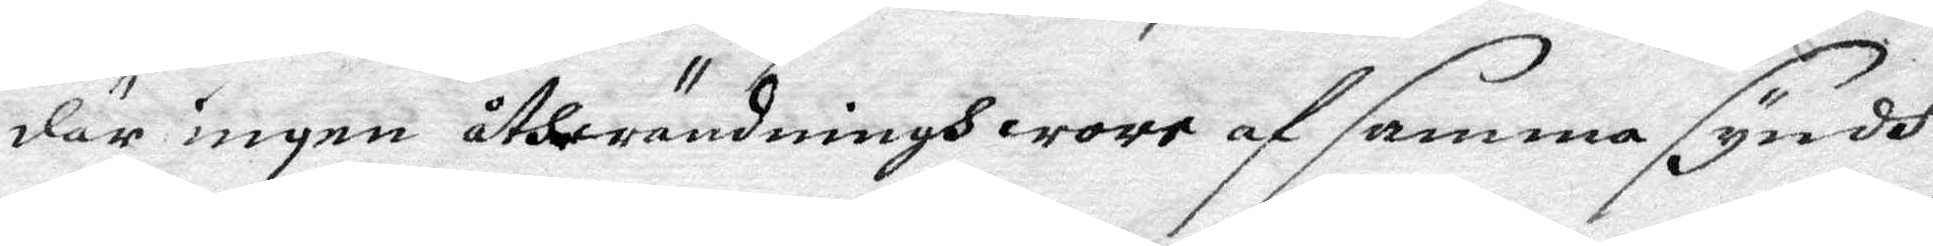där ändå ingen åthwändningh wore af samma sundh
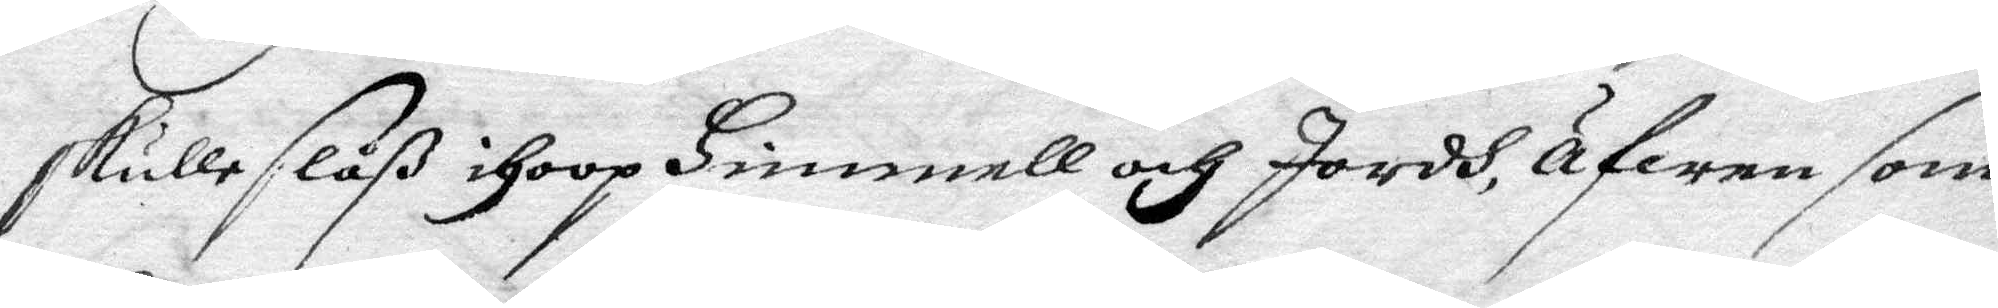skulle slåß ihoop Himmell och Jordh, äfwen som
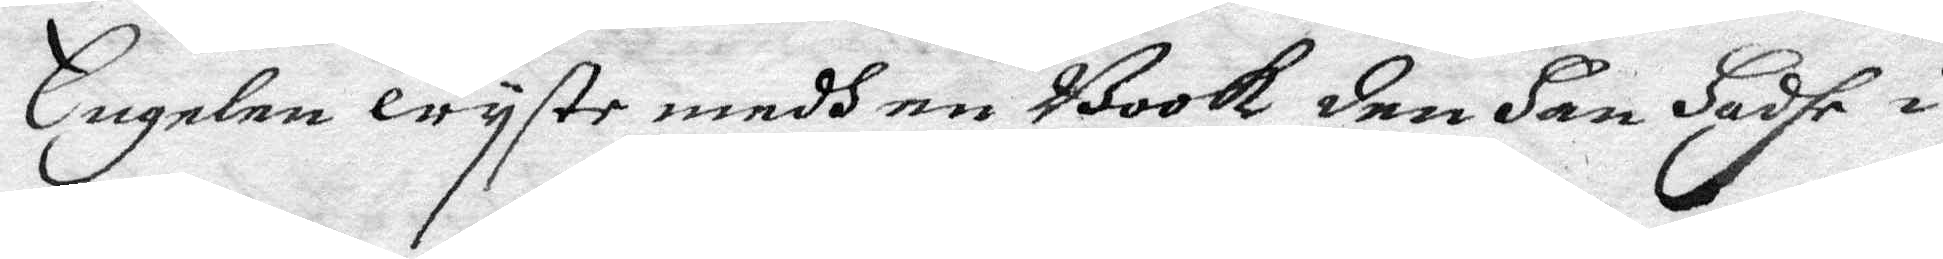Engelen wyste medh en Book den Han Hadhe i
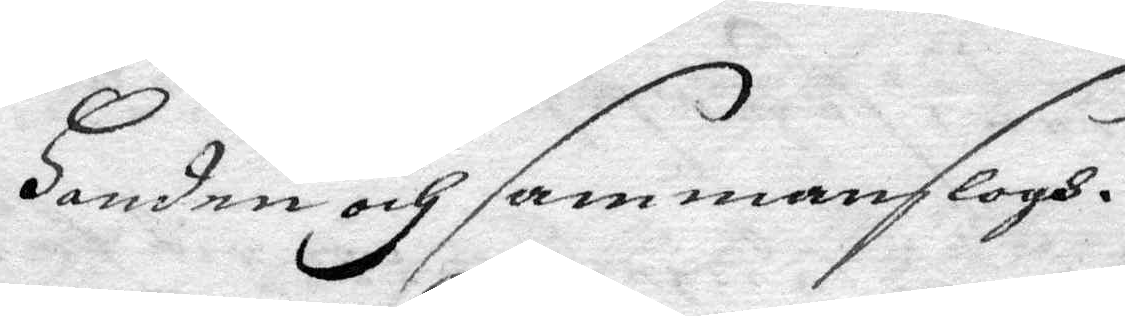Handen och sammanslogh.
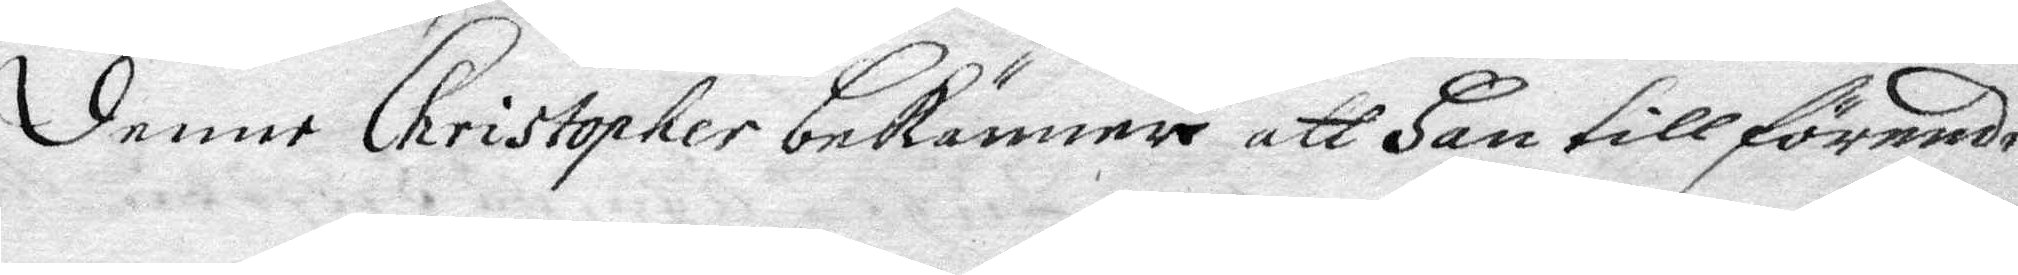Denne Christopher bekänner att Han tillförende
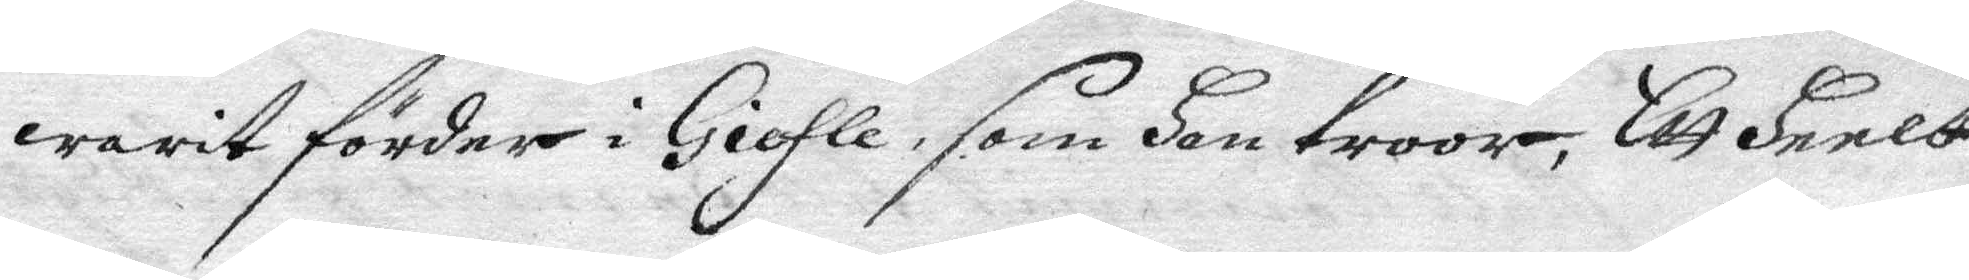warit förder i Giefle, som Han troor, Ett Heelt
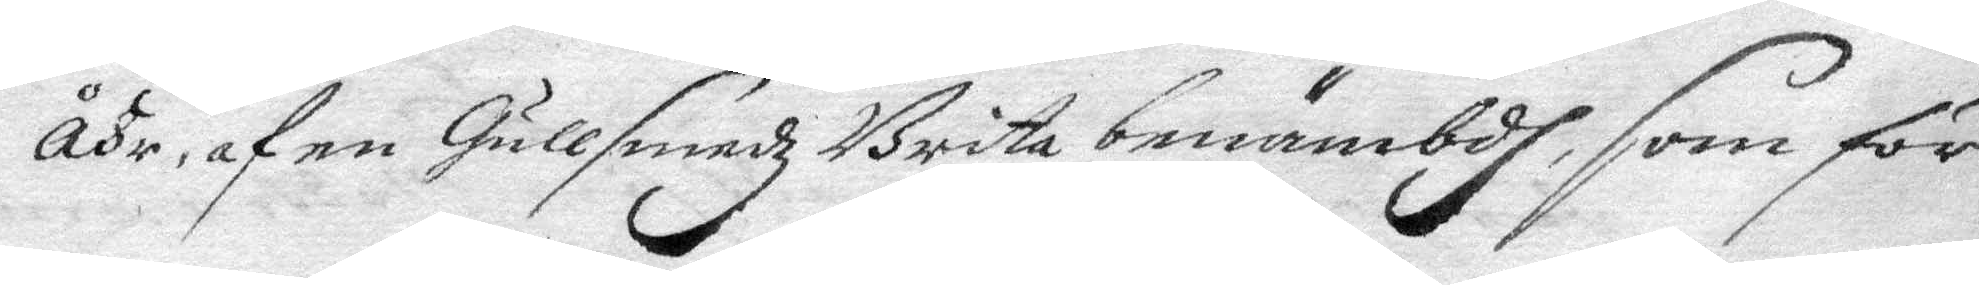åhr, af en Gullsmedz Brita benämbdh, som för 
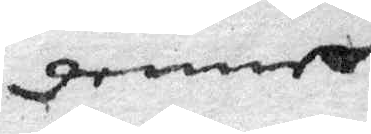denne
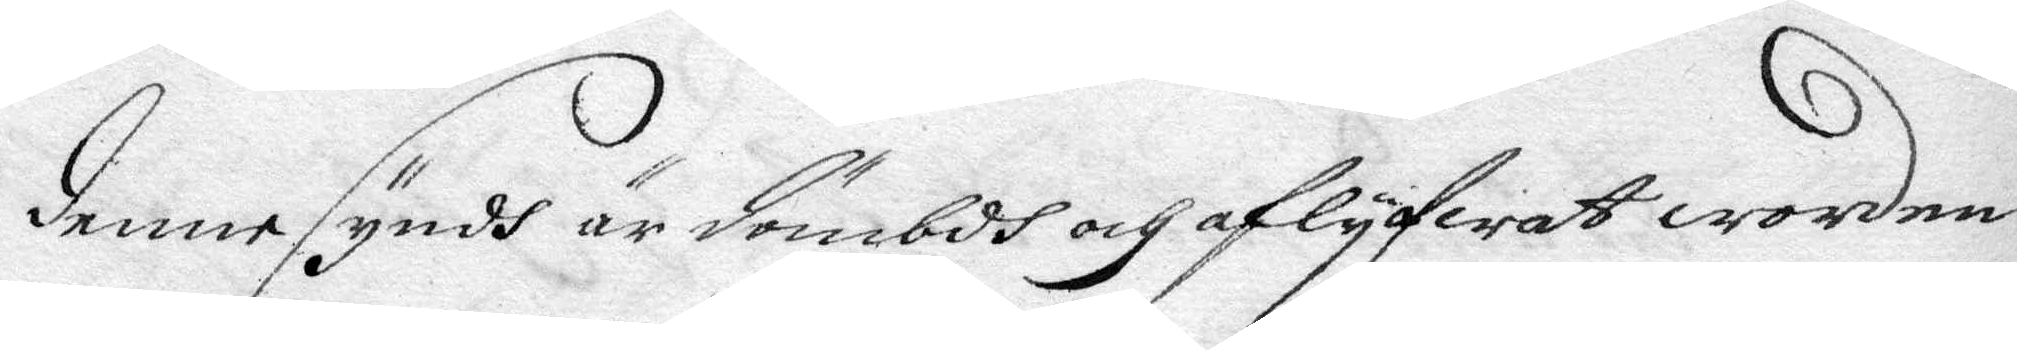denne syndh är dömbdh och aflyfwar worden;
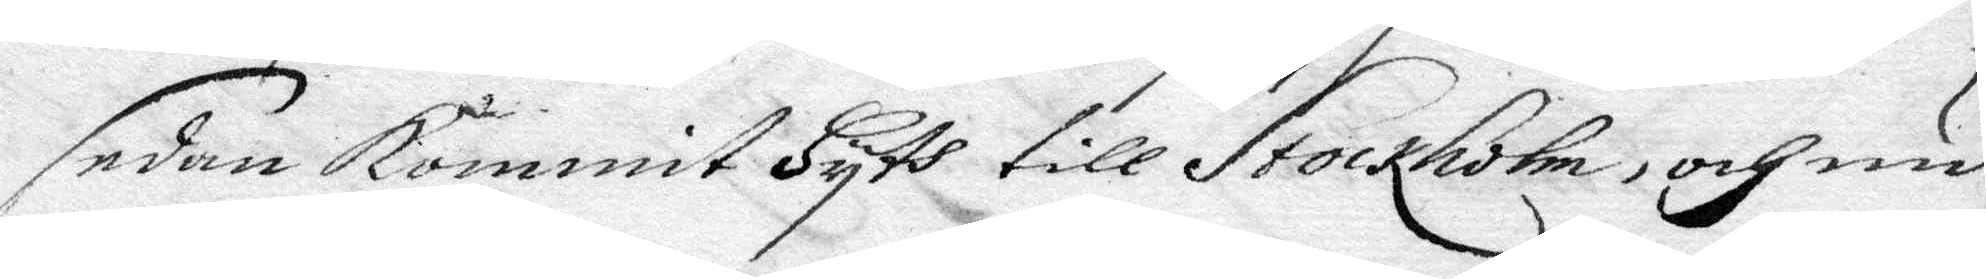sedan kommit Hyth till Stockholm, och nu
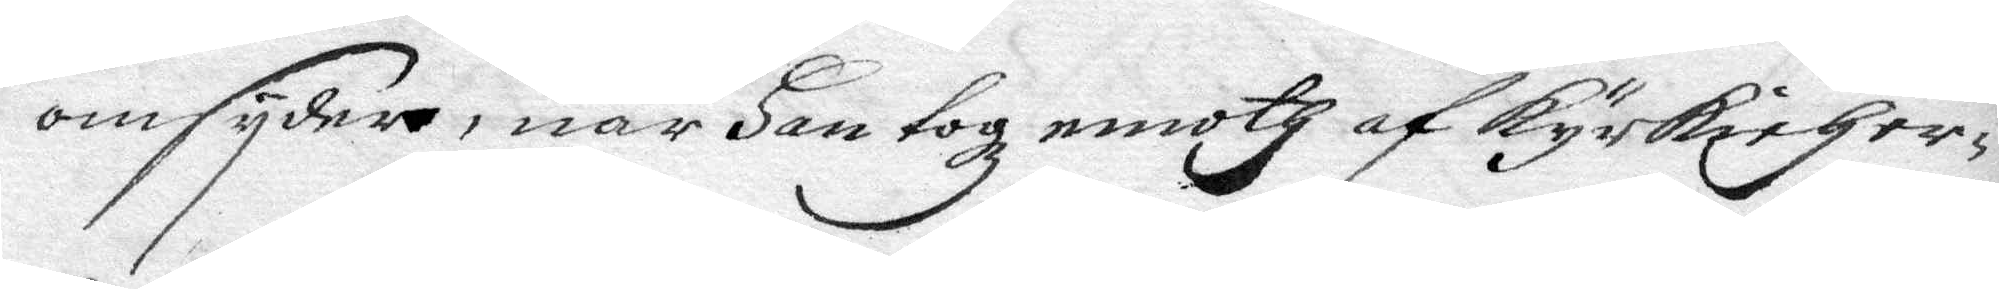omsyder, när Han togz emoth af kyrkioHer¬
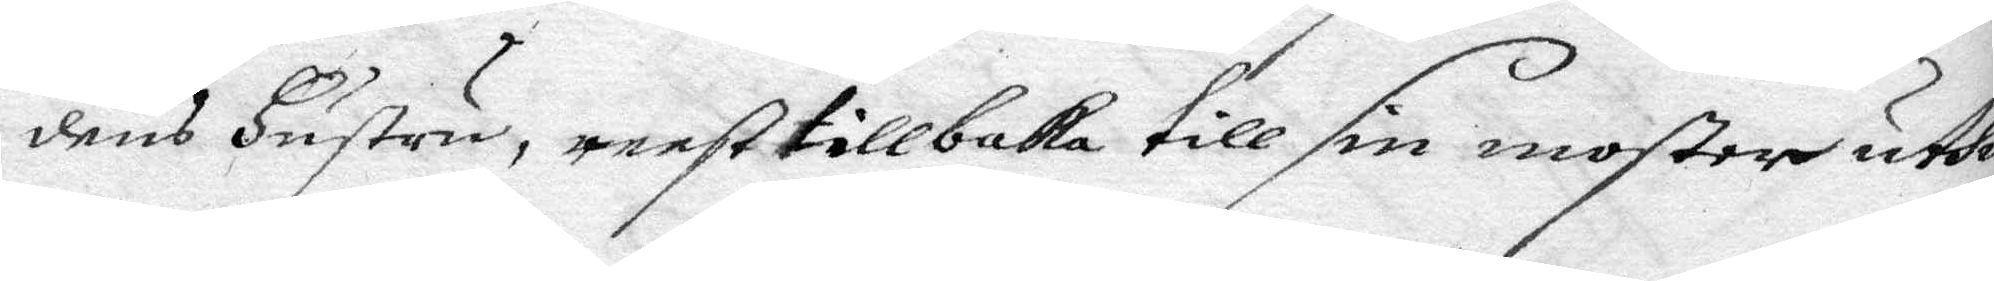dens Hustru, reest tillbaka till sin moster uthi
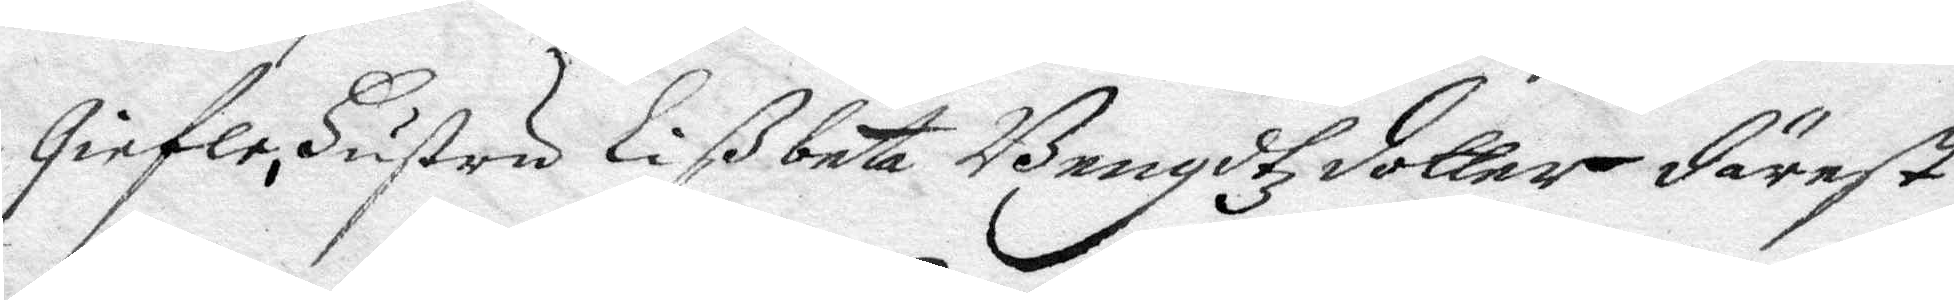Giefle, Hustru Lißbeta Bengdtzdotter därest
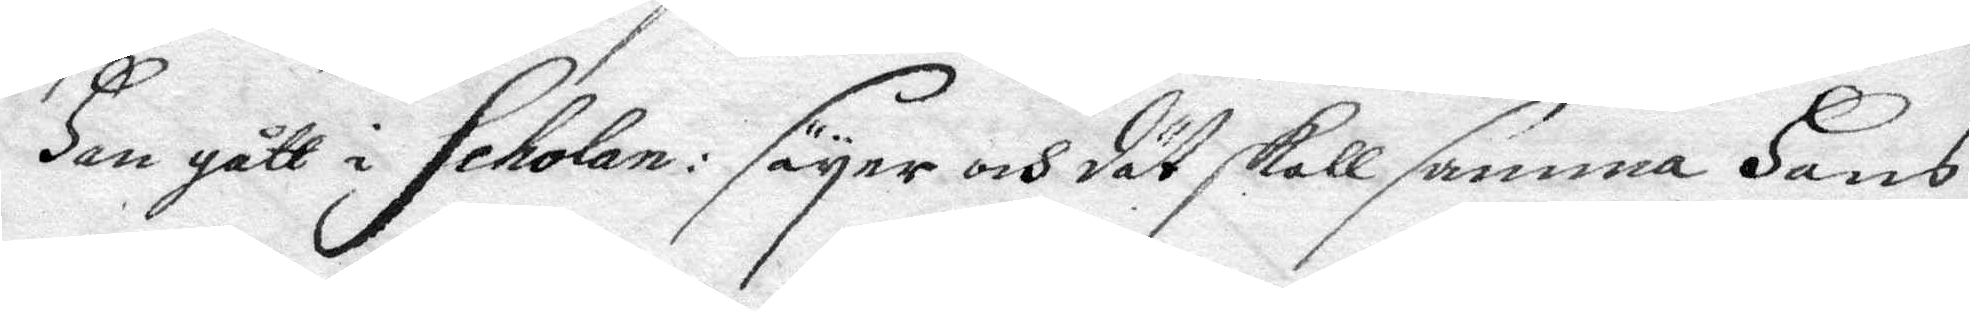Han gått i Scholan: säyer och dät skall samma Hans
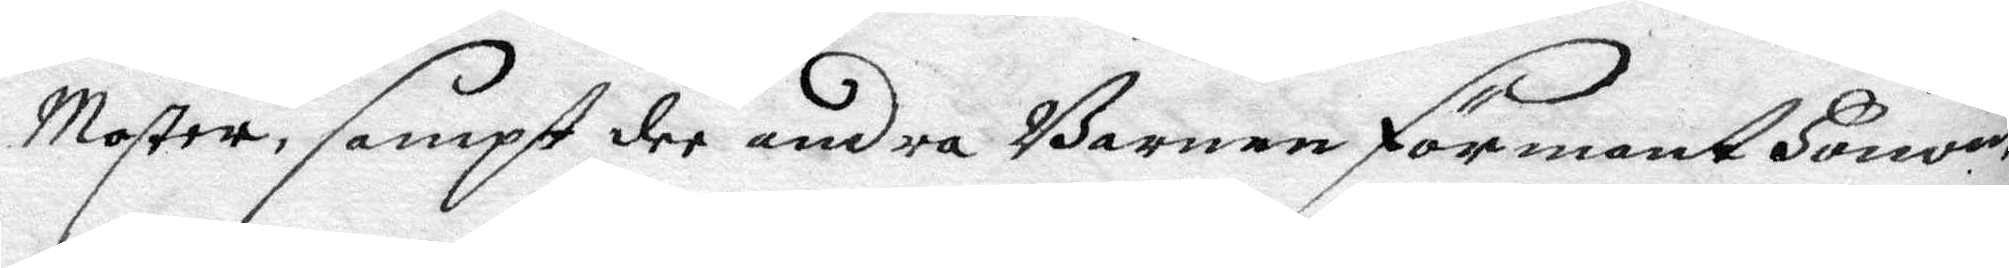Moster, sampt dee andra Barnen förmant Honom
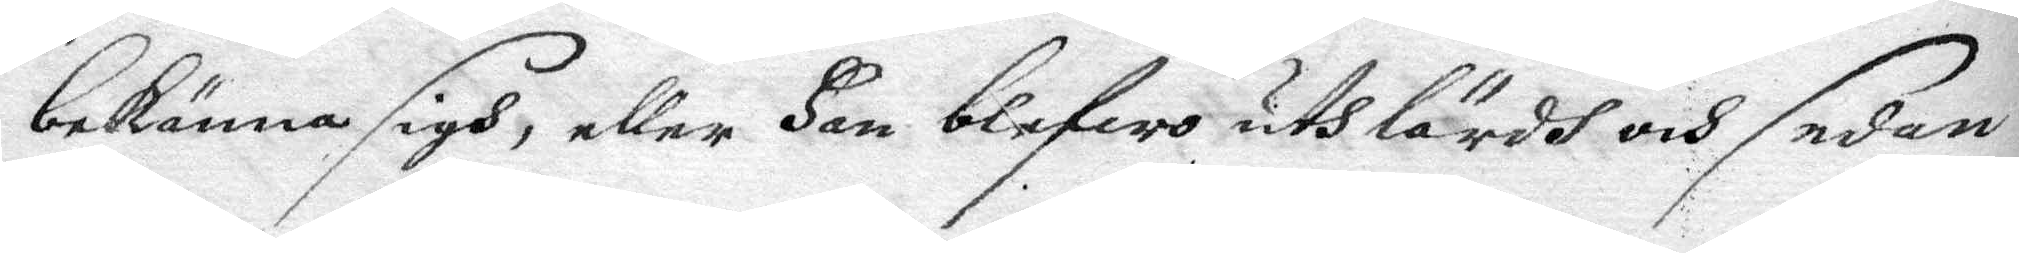bekänna sigh, eller Han blefwo uthlärdh och sedan
